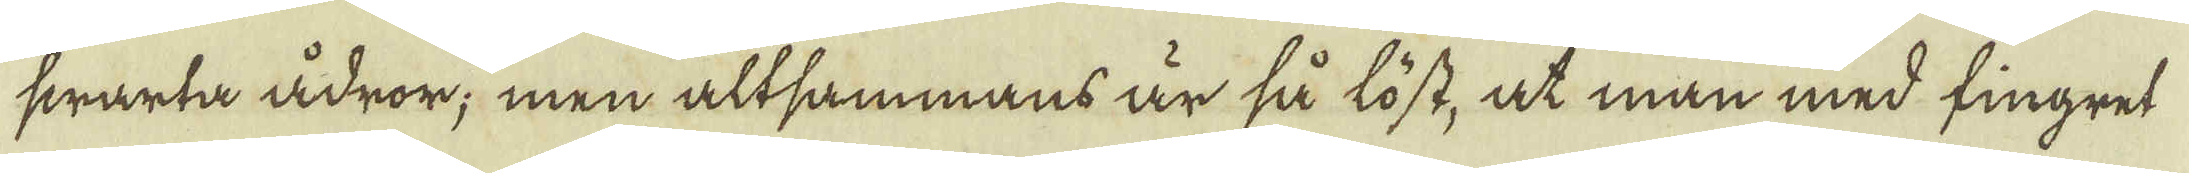swarta ådror; men altsammans är så löst, at man med fingret
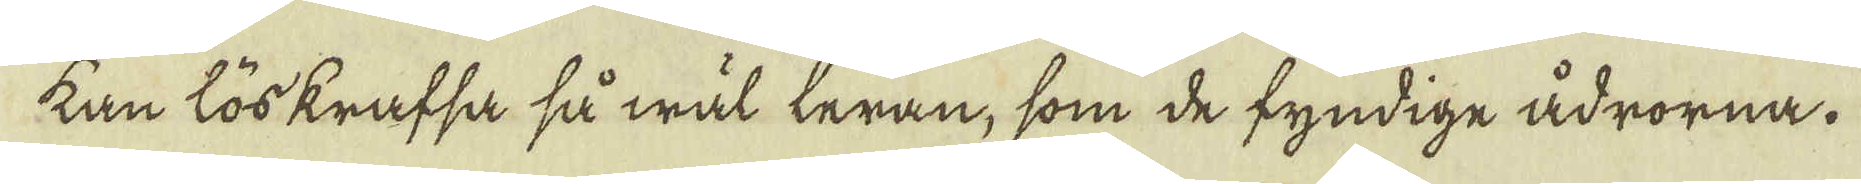kan löskrafsa så wäl leran, som de fyndige ådrorna.
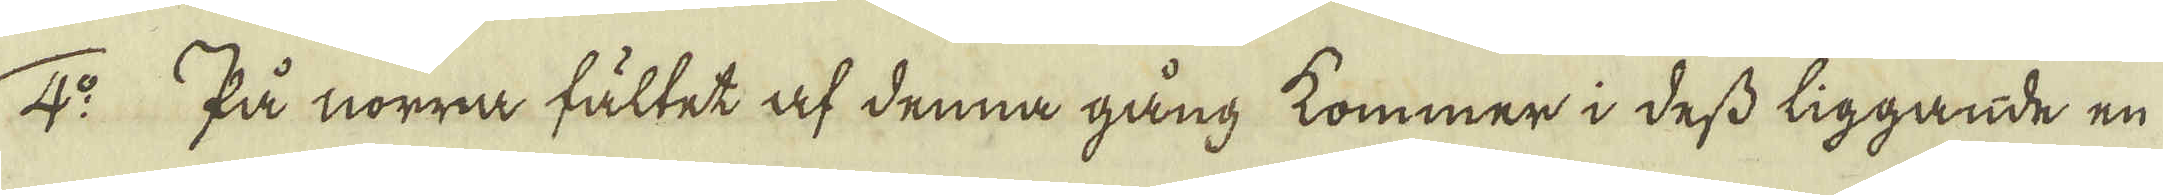4:o På norra fältet af denna gång kommer i dess liggande en
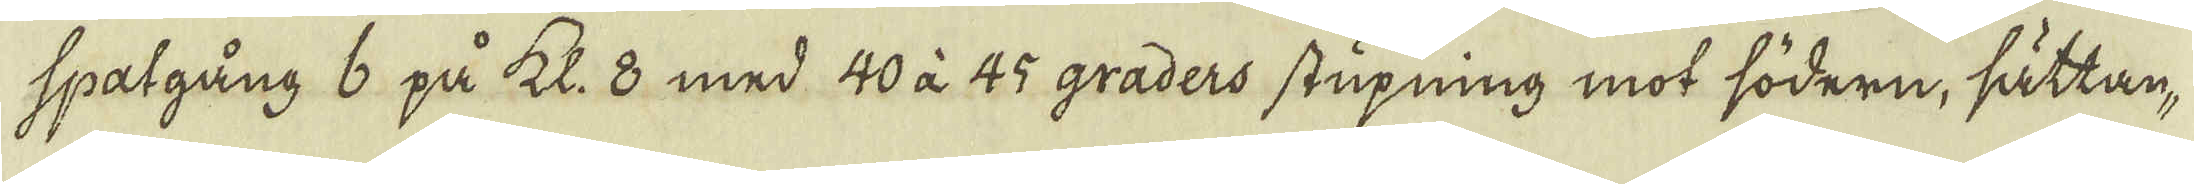spatgång 6 på kl. 8 med 40 à 45 graders stupning mot södern, sättan-
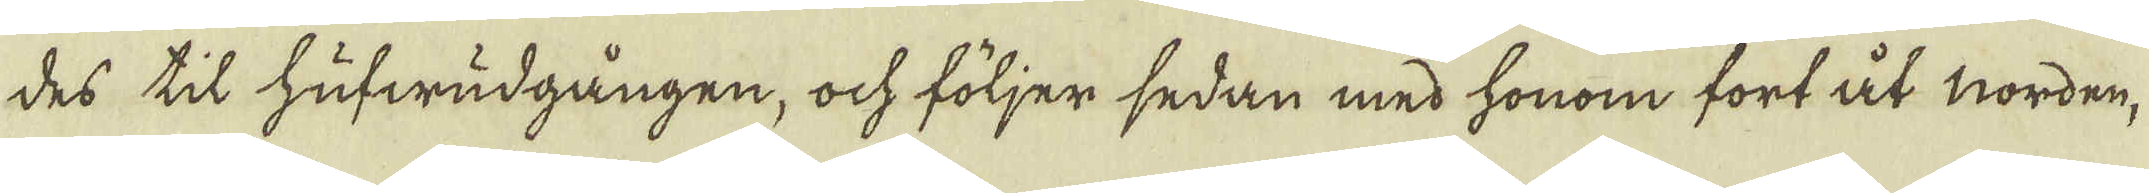des til hufwudgången, ock följer sedan med honom fort åt norden,
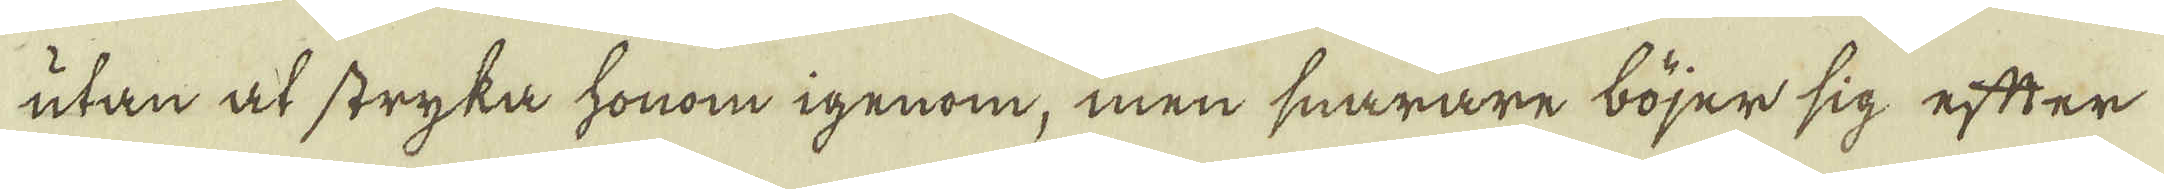utan at stryka honom igenom, men snarare böjer sig efter
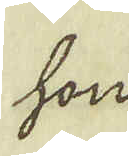hon
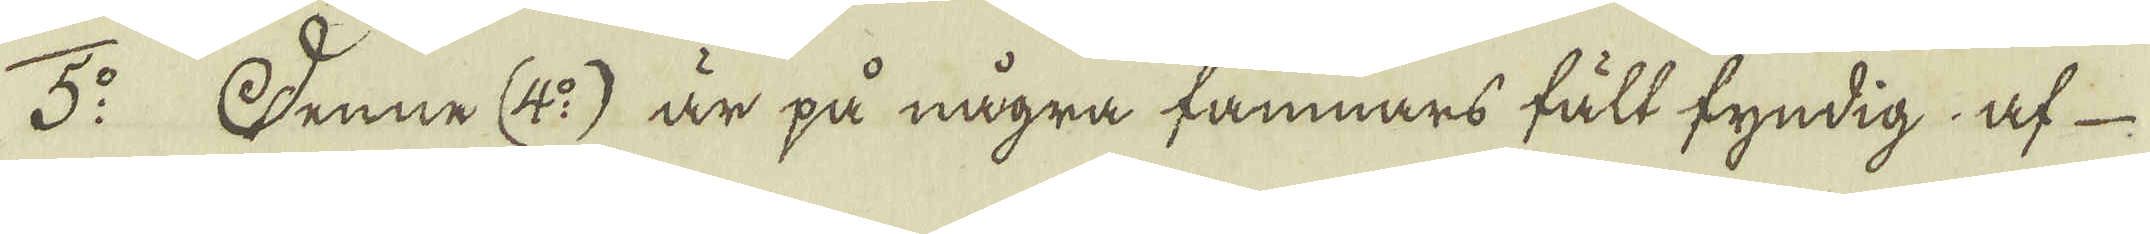5:o Denne (4:o) är på några famnars fält fyndig af-
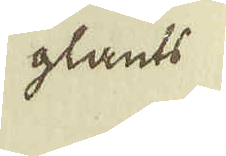glants
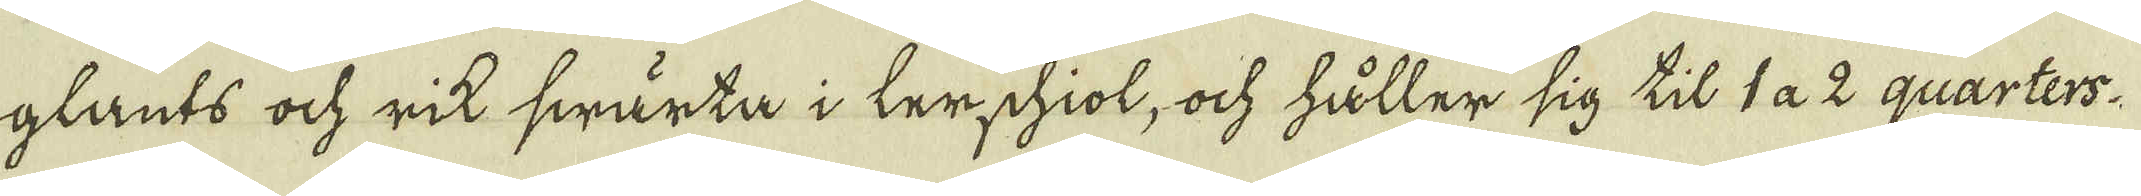glants ock rik swärta i lerschiol, ock håller sig til 1 a 2 quarters-
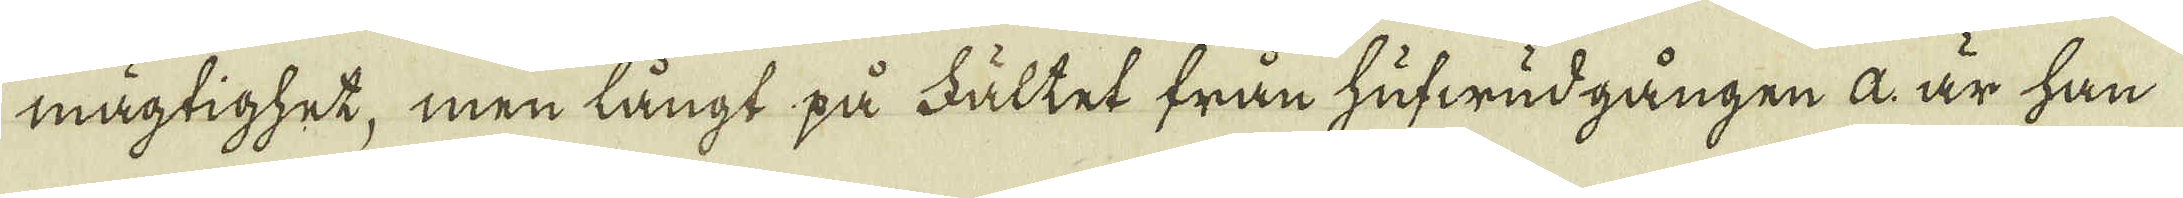mägtighet, men långt på Fältet från hufwudgången a. är han
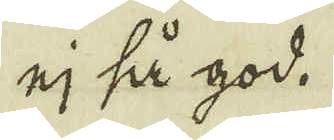ej så god.
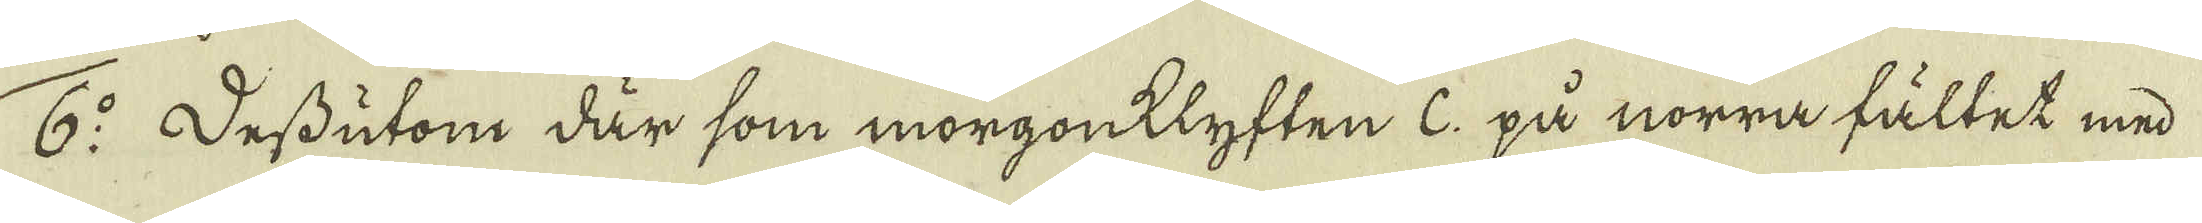6:o Dessutom där som morgonklyften C: på norra fältet med
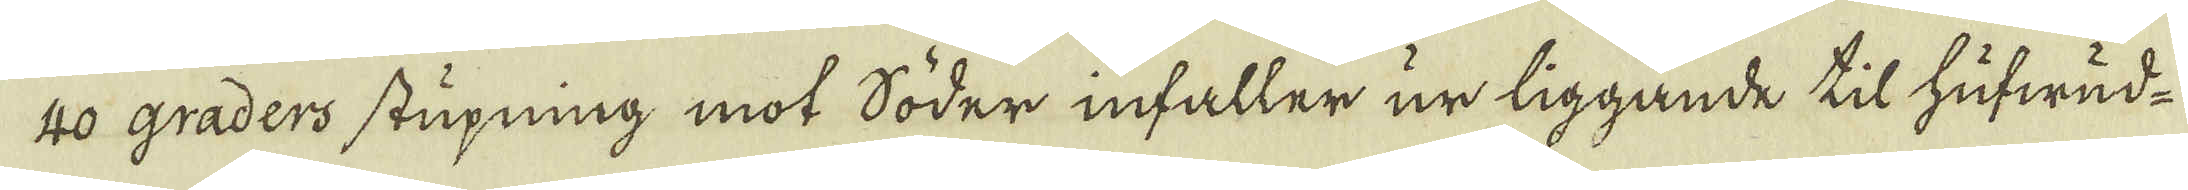40 graders stupning mot söder infaller ur liggande til hufwud-
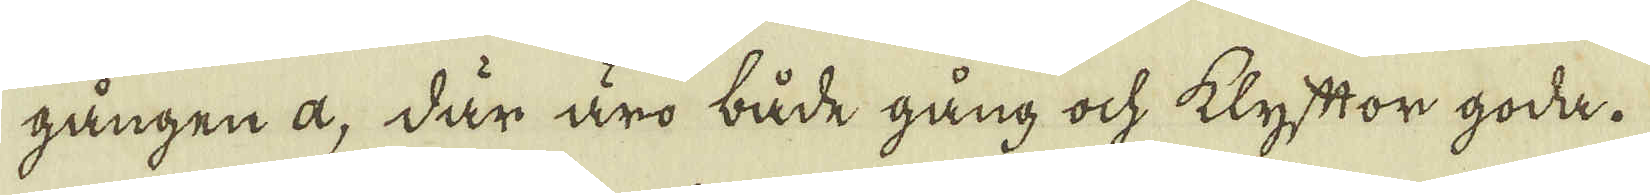gången a, där äro både gång ock klyftor goda.
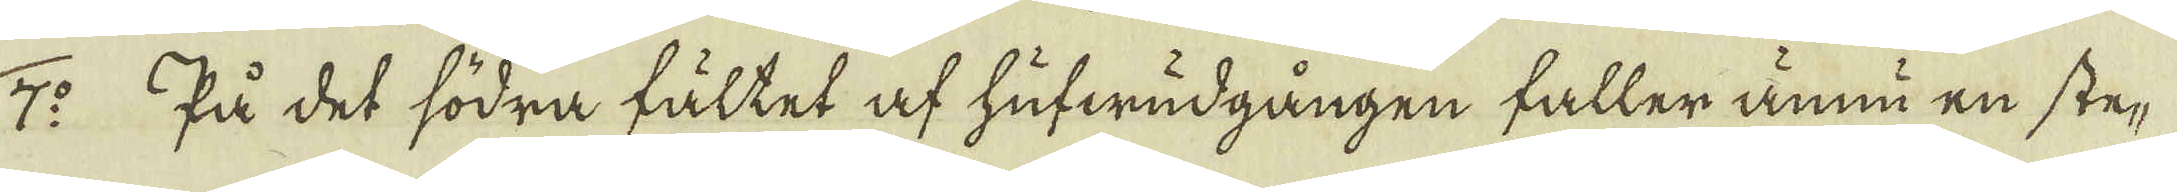7:o På det södra fältet af hufwudgången faller ännu en ste-
